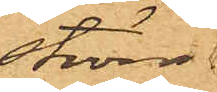ström.
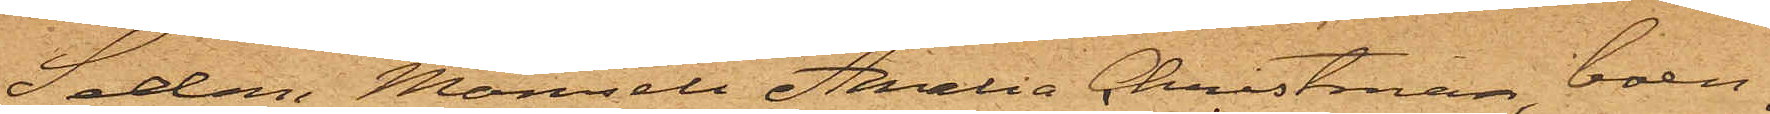Sedan Mamsell Amalia Christman, boen¬
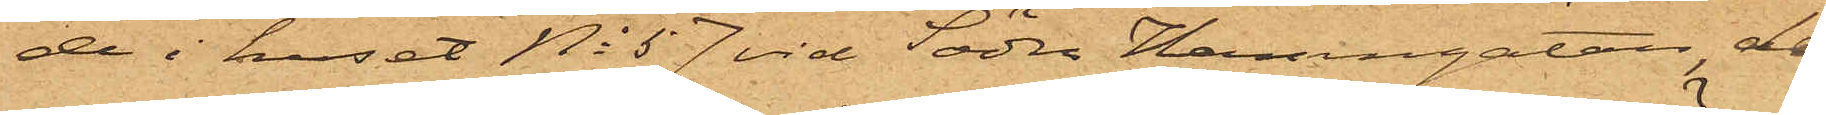de i huset No 57 vid Södra Hamngatan, den
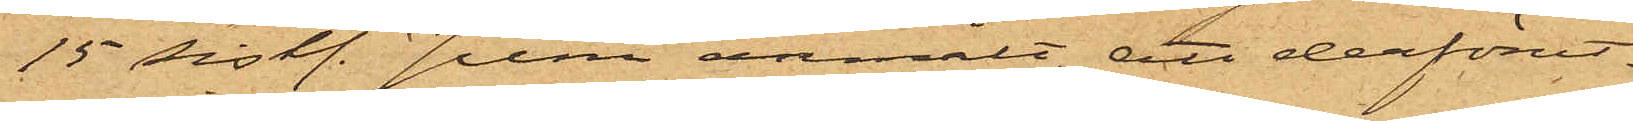15 sist. Juni anmält, att derförut¬
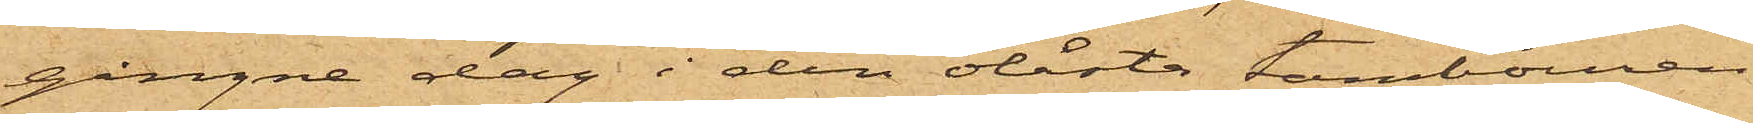gångne dag i den olåsta tambouren
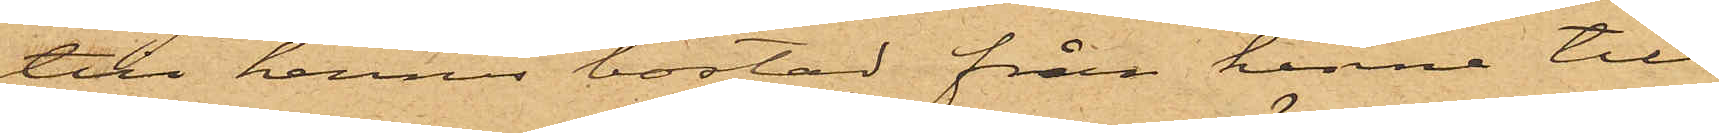till hennes bostad från henne till¬
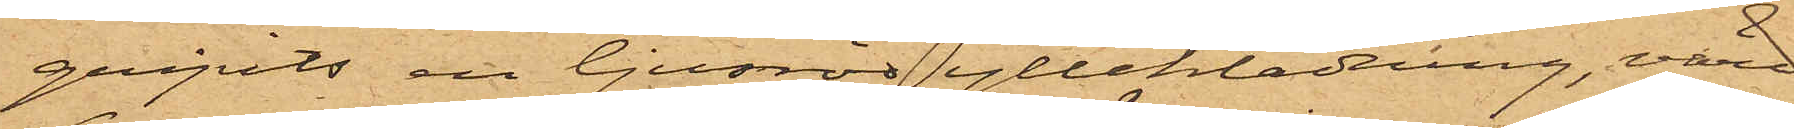gripits en ljusröd ylleklädning, värd
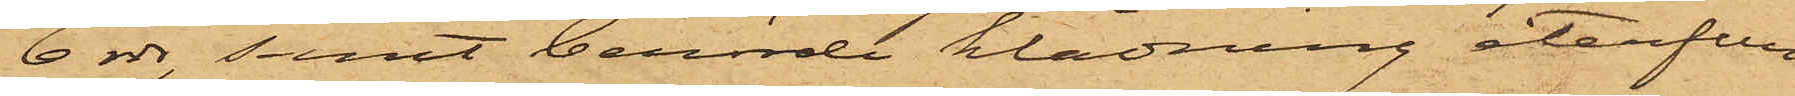6 rdr, samt berörde klädning återfun¬
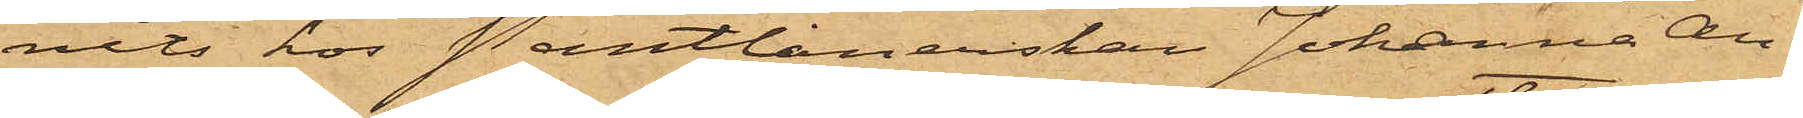nits hos Pantlånerskan Johanna An¬
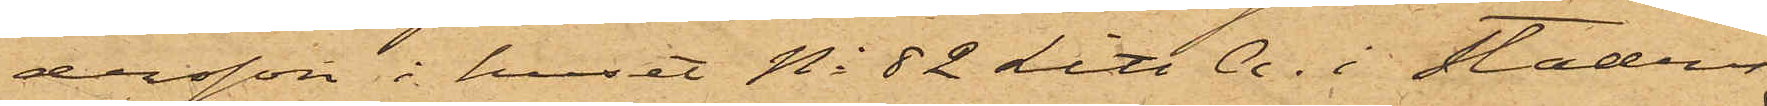dersson i huset No 82 Litt A. i Stadens
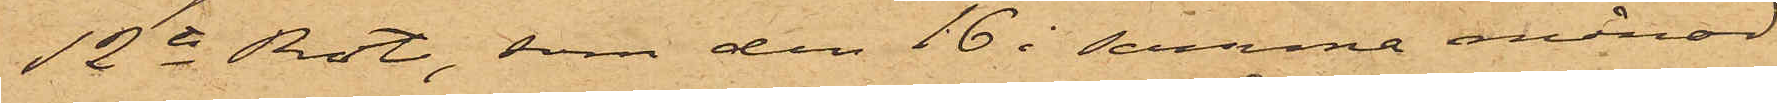12te Rote, som den 16 i samma månad
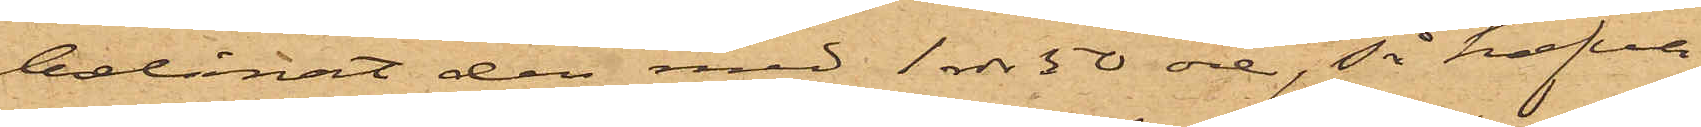belånat den med 1 rdr 50 öre, så hafva
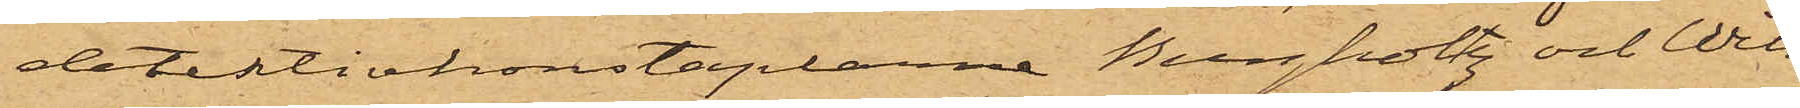detektivkonstaplarne Bergholtz och Wik
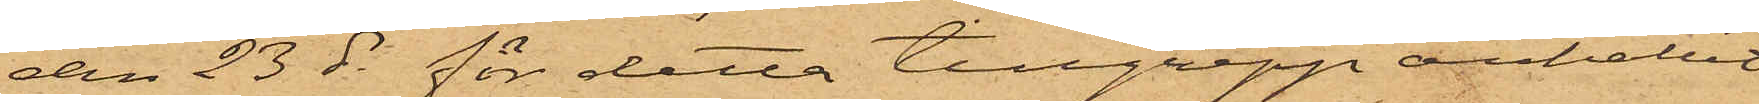den 23 ds för detta tillgrepp anhållit
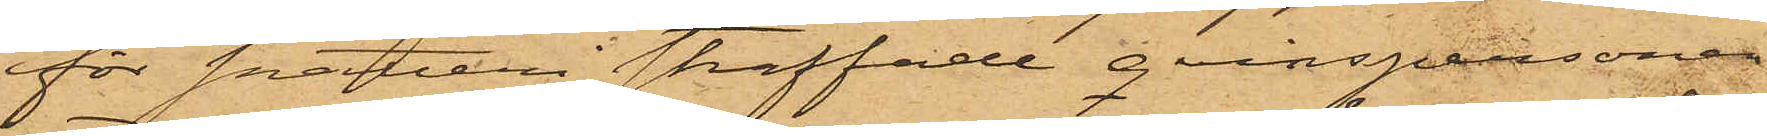för snatteri straffade qvinspersonen
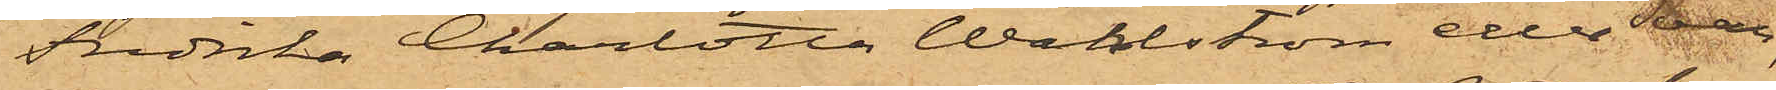Fredrika Charlotta Wahlström eller Svan,
